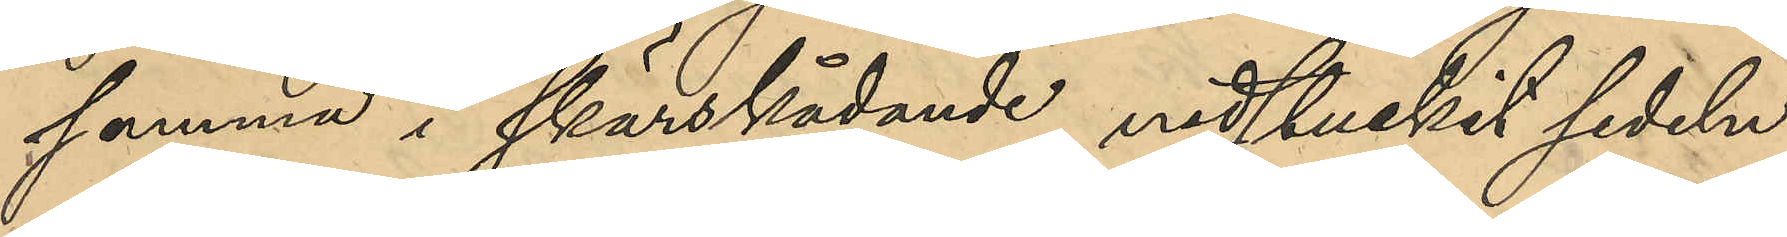samma i skärskådanden, nedstuckit sedeln
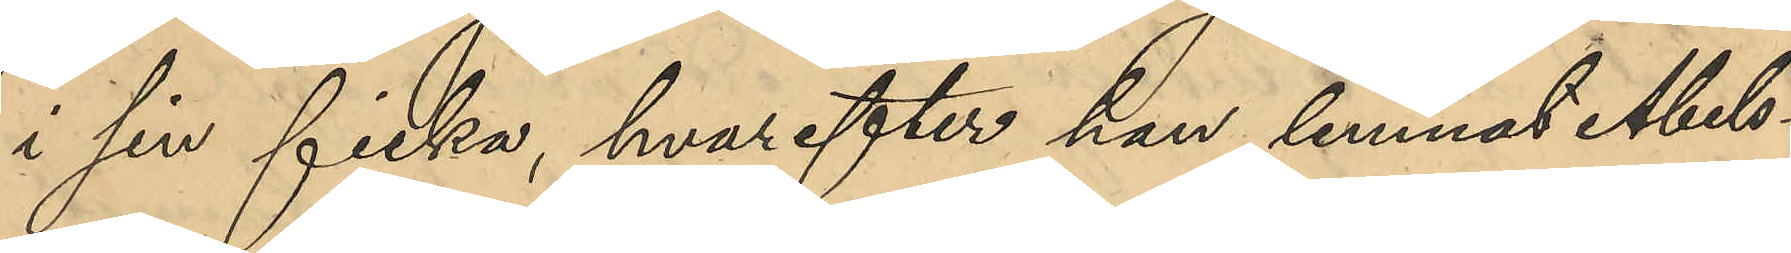i sin ficka, hvarefter han lemnat Abels¬
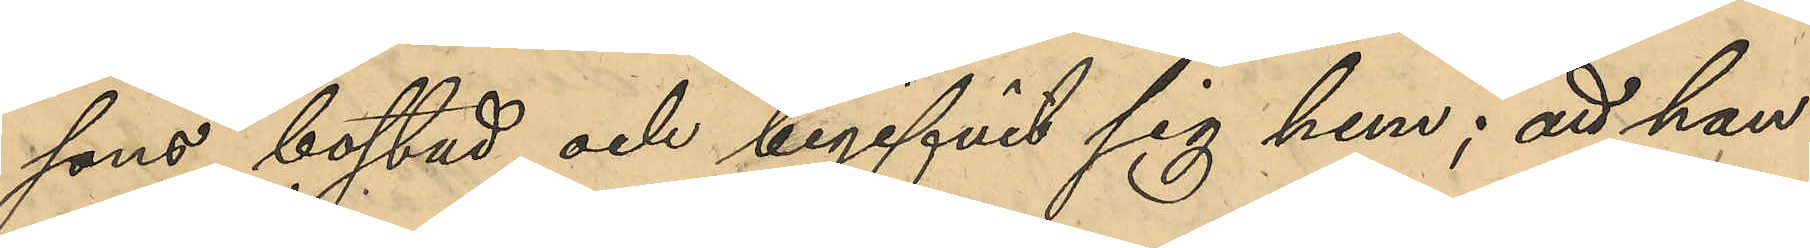sons bostad och begifvit sig hem; att han
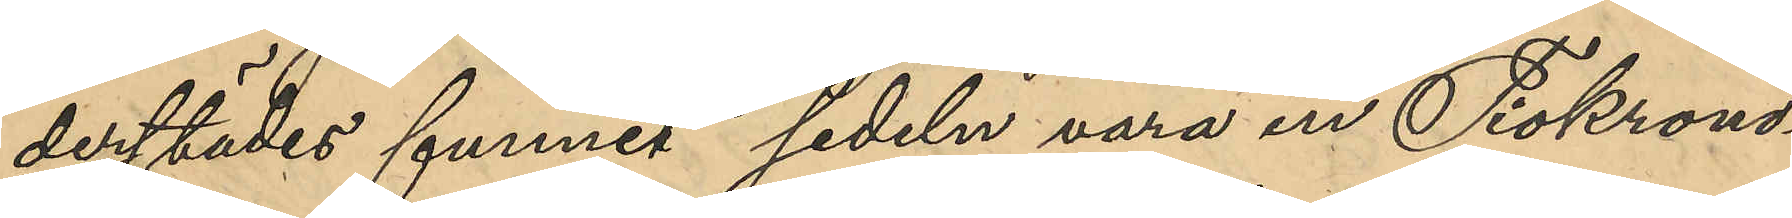derstädes funnit sedeln vara en Tiokrono¬
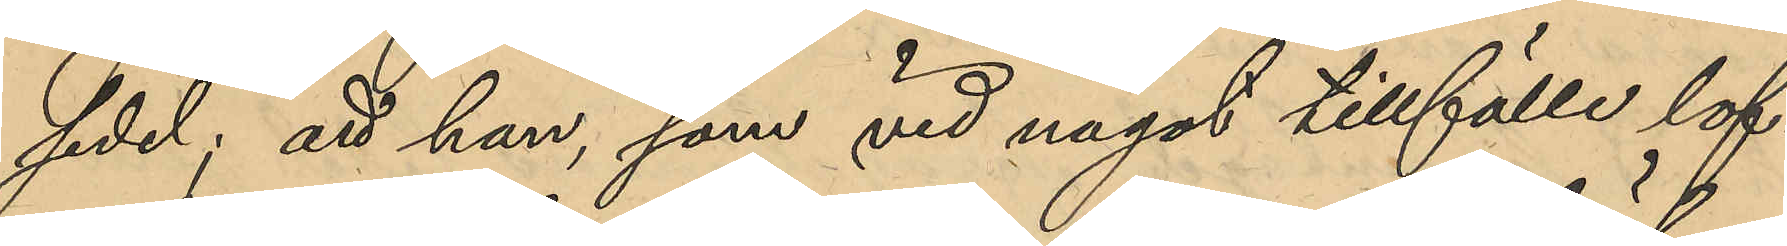sedel; att han, som vid något tillfälle lof¬
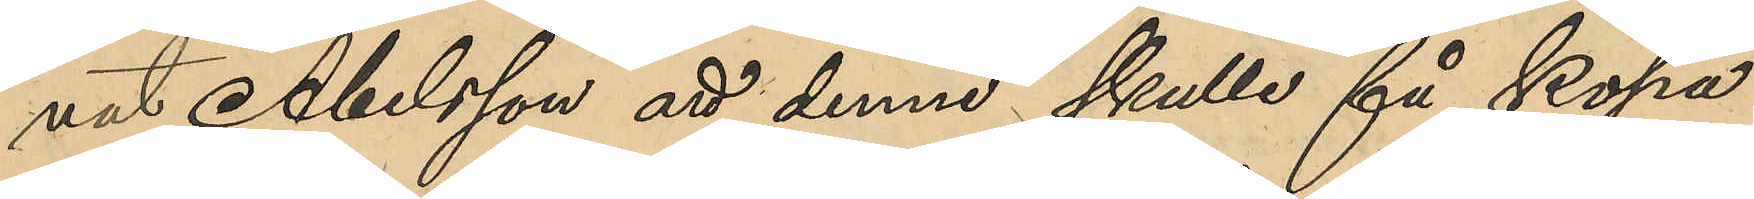vat Abelsson att denne skulle få köpa
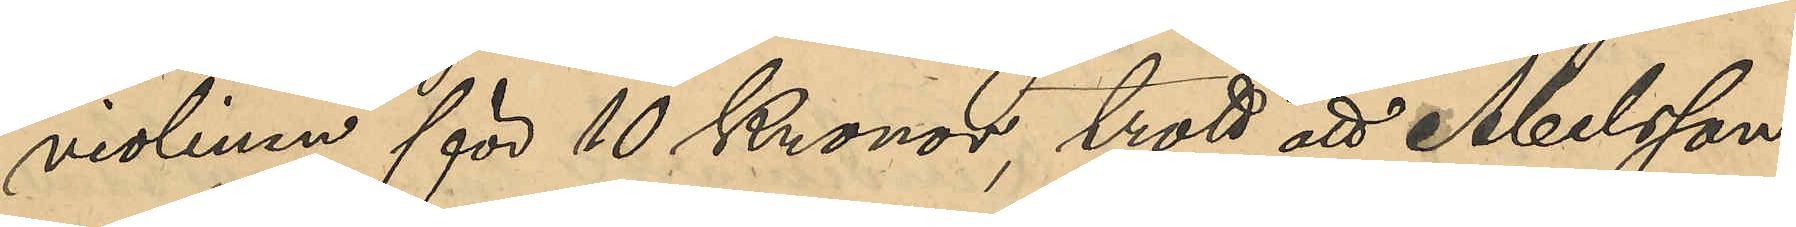violinen för 10 Kronor, trott att Abelsson
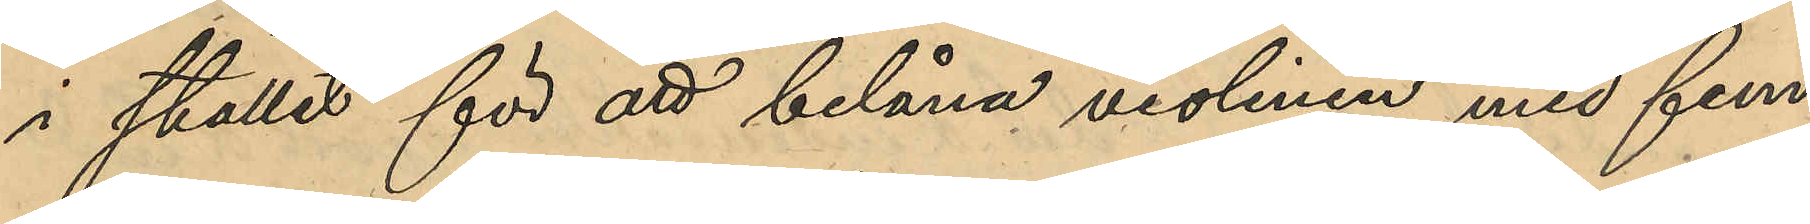i stället för att belåna violinen med fem
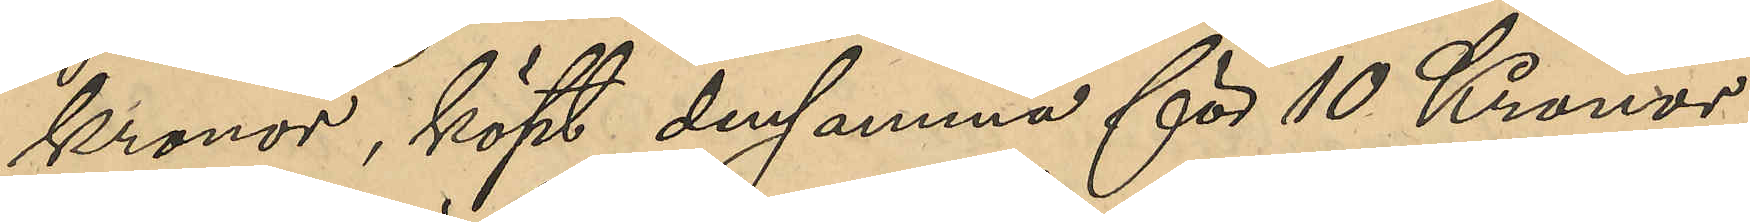kronor, köpt densamma för 10 Kronor;
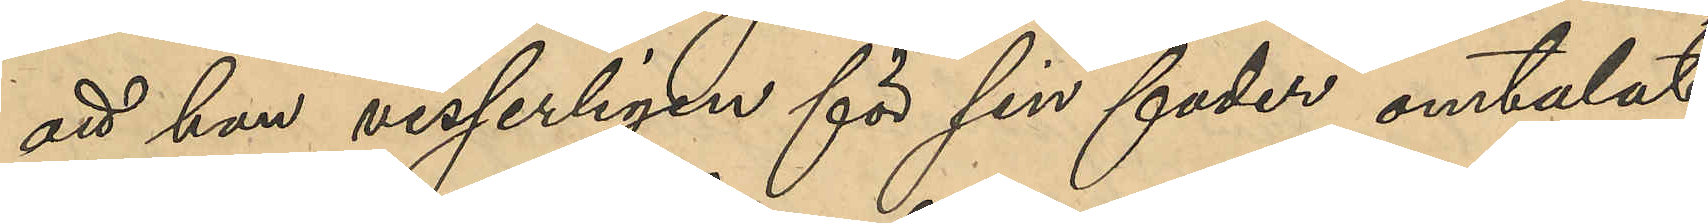att han visserligen för sin fader omtalat
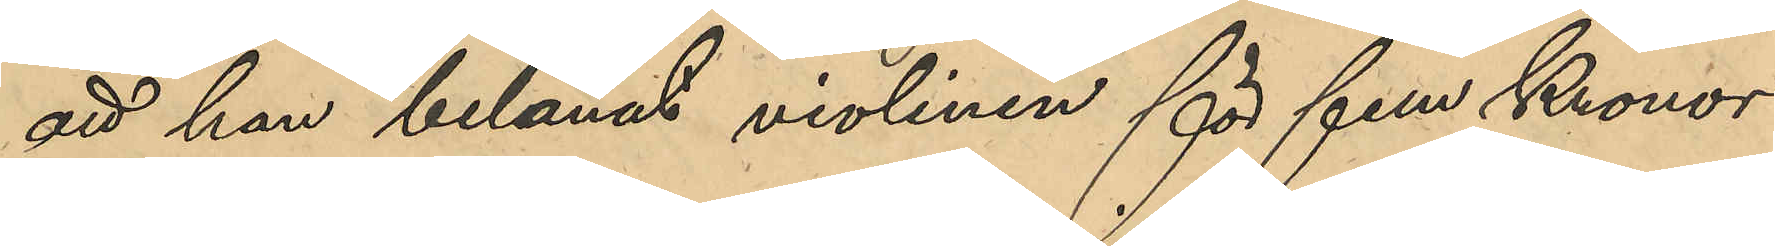att han belånat violinen för fem Kronor
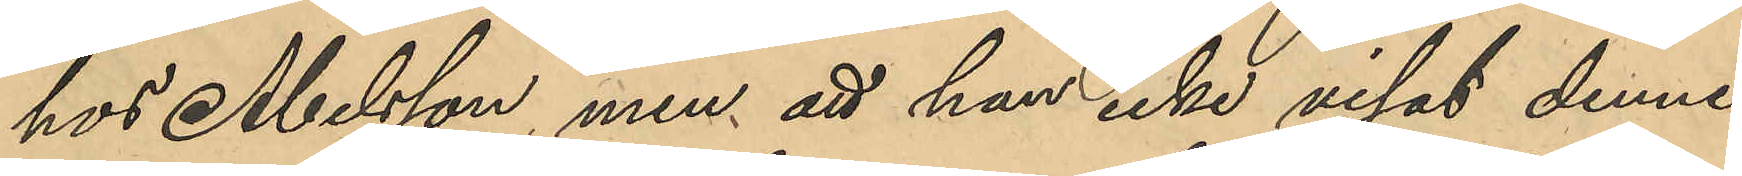hos Abelsson, men att han icke visat denne
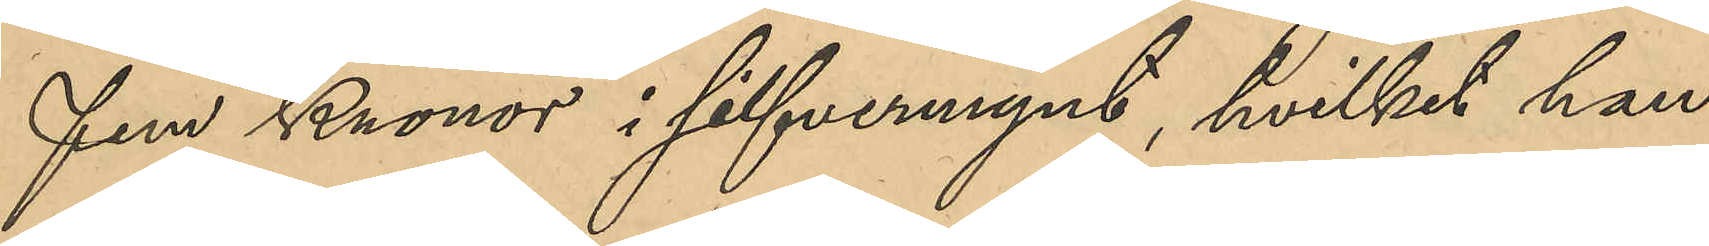fem Kronor i silfvermynt, hvilket han
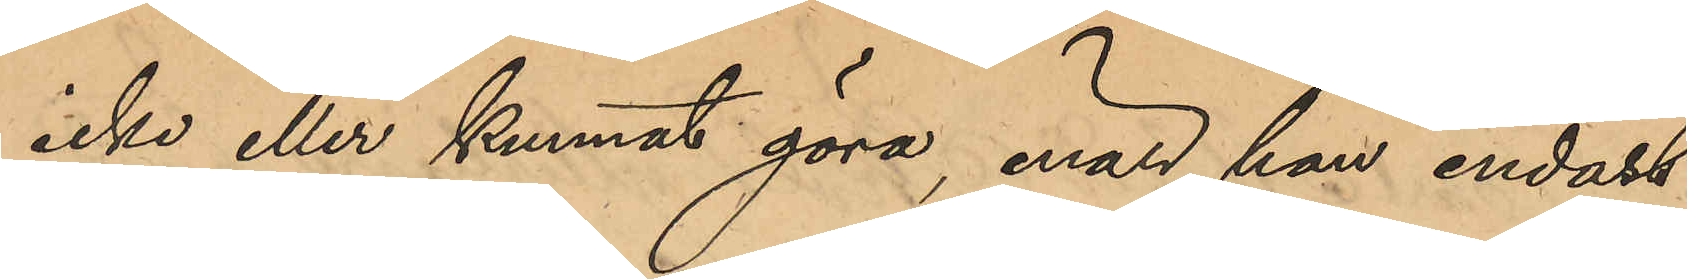icke eller kunnat göra, enär han endast
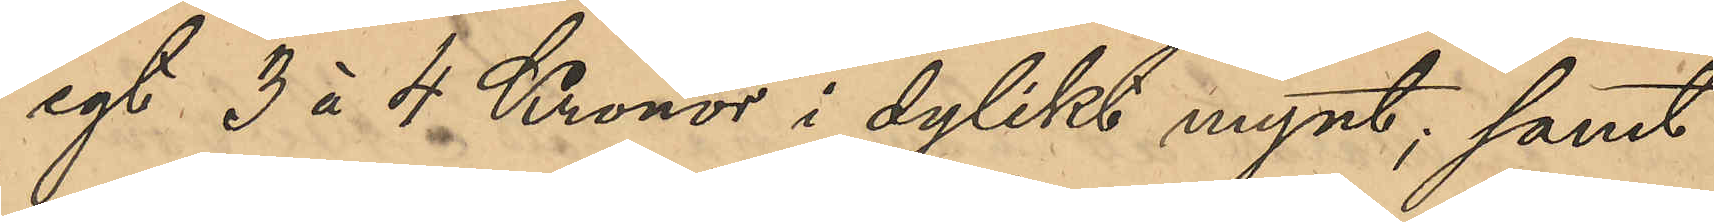egt 3 à 4 Kronor i dylikt mynt; samt
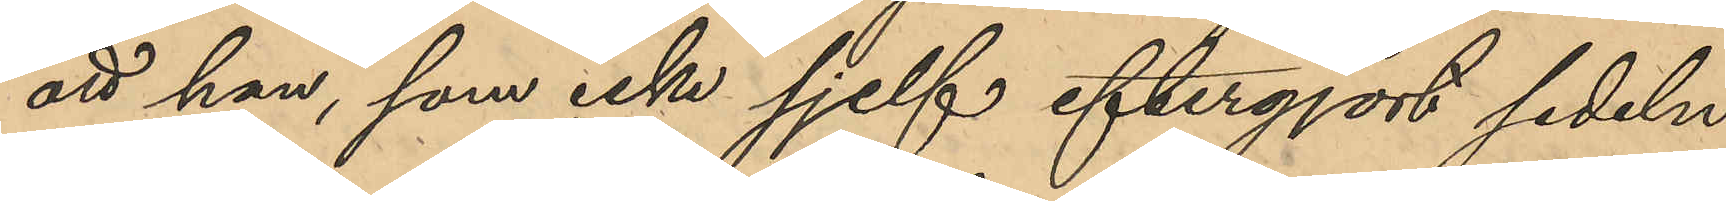att han, som icke sjelf eftergjort sedeln
